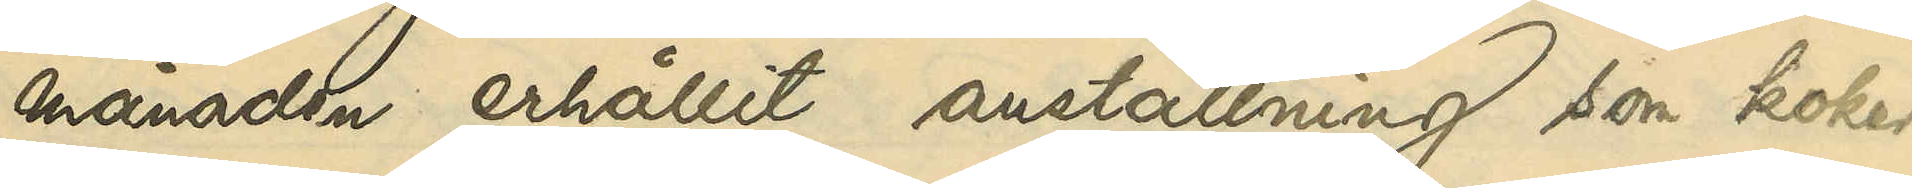månaden erhållit anställning som koker¬
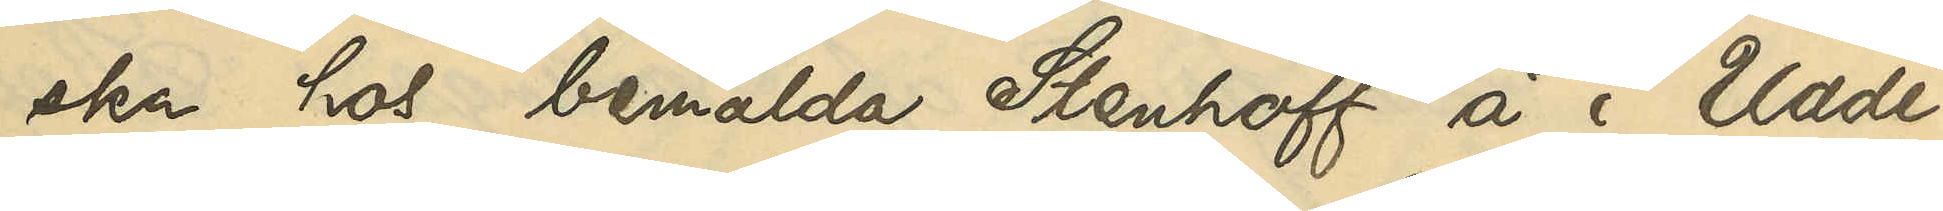ska hos bemälda Stenhoff å i Udde¬
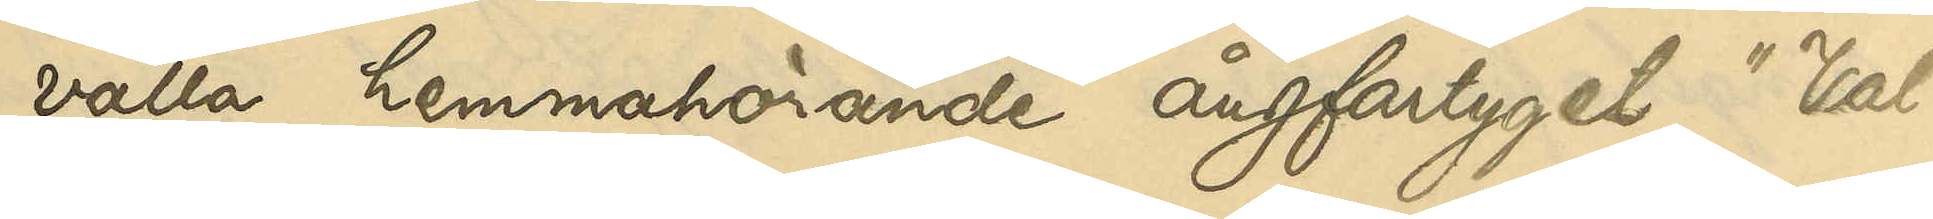valla hemmahörande ångfartyget "Val¬
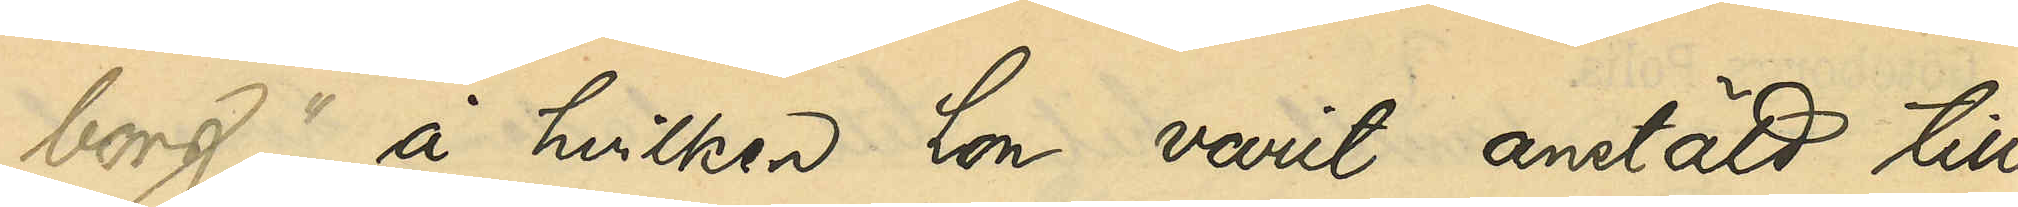borg", å hvilken hon varit anstäld till
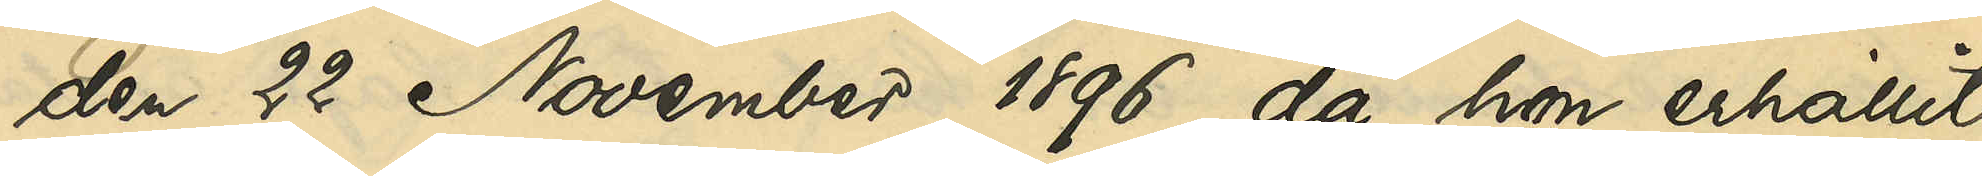den 22 November 1896, då hon erhållit
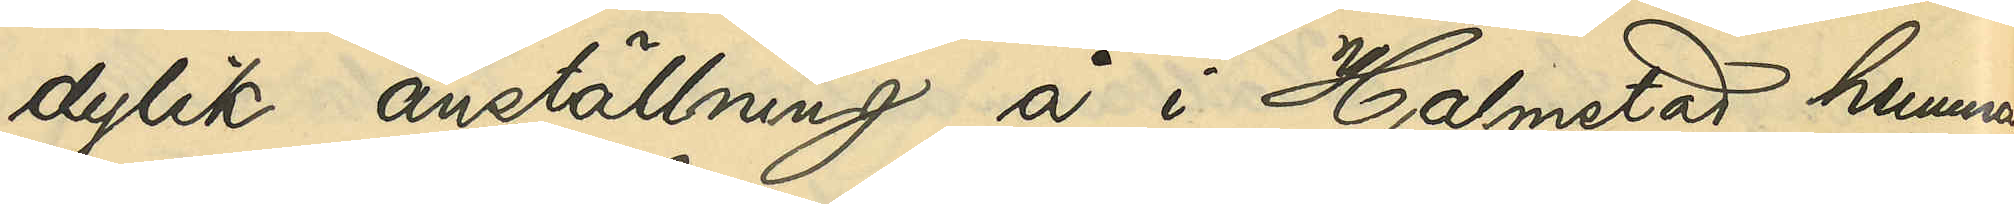dylik anställning å i Halmstad hemma¬
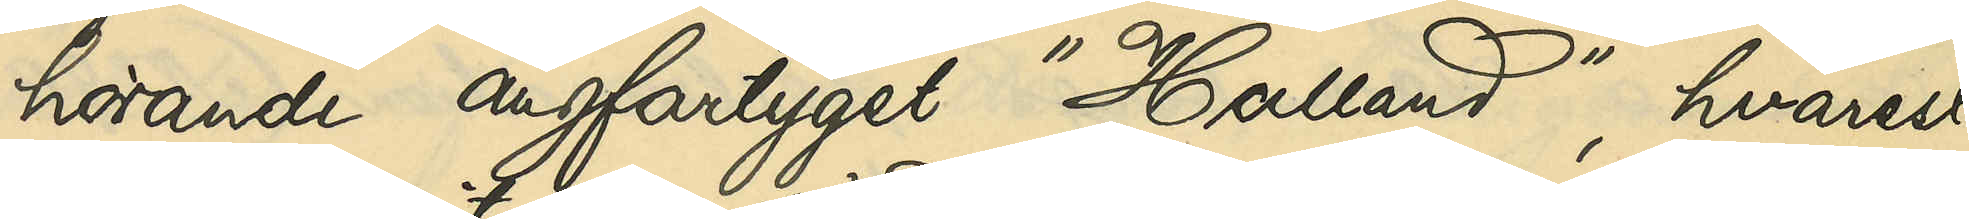hörande ångfartyget "Halland", hvarest
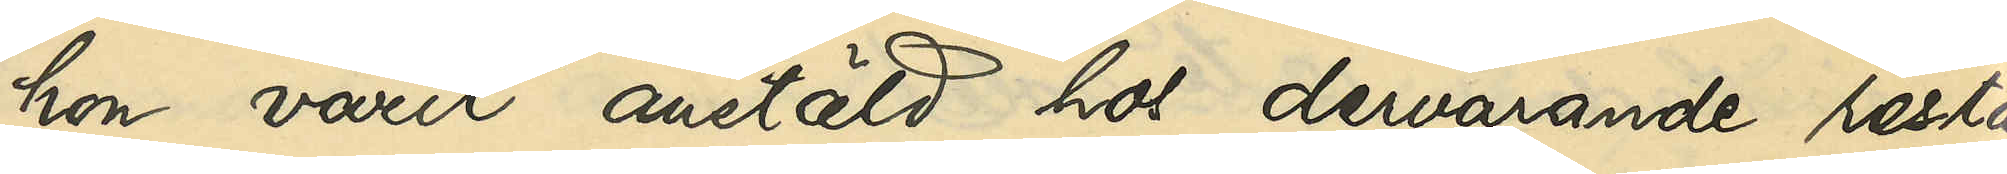hon varit anstäld hos dervarande restau¬
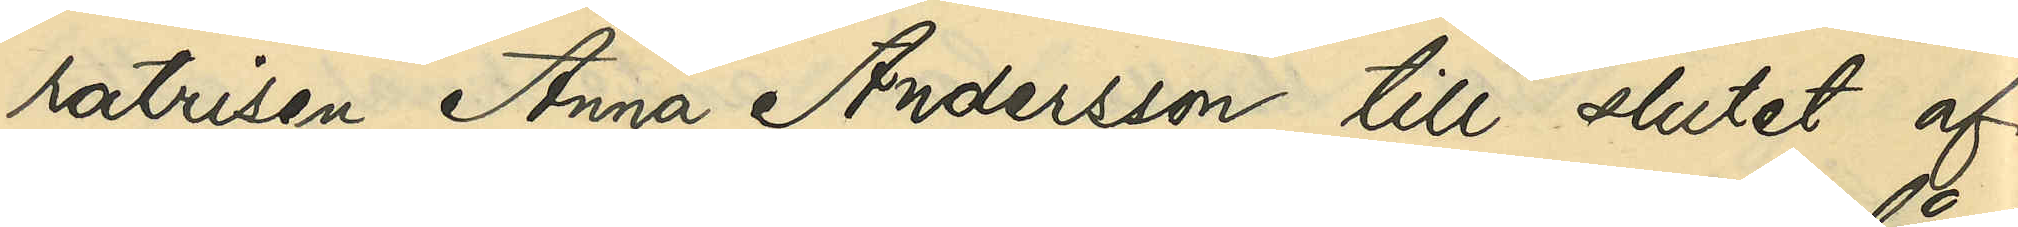ratrisen Anna Andersson till slutet af
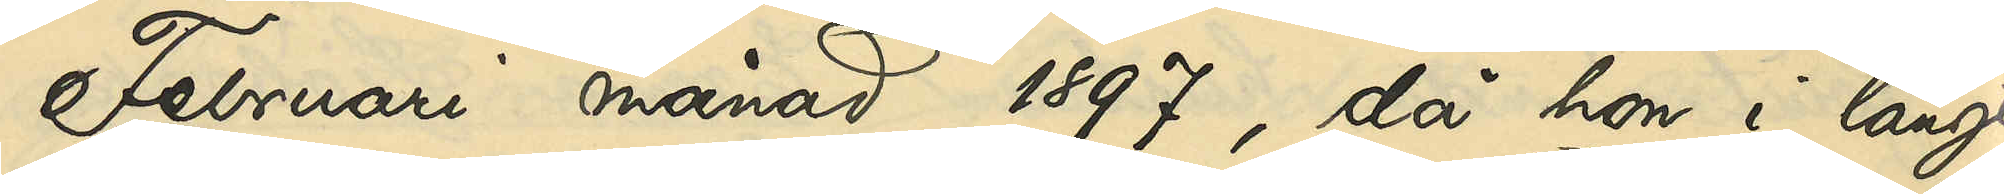Februari månad 1897, då hon i långt
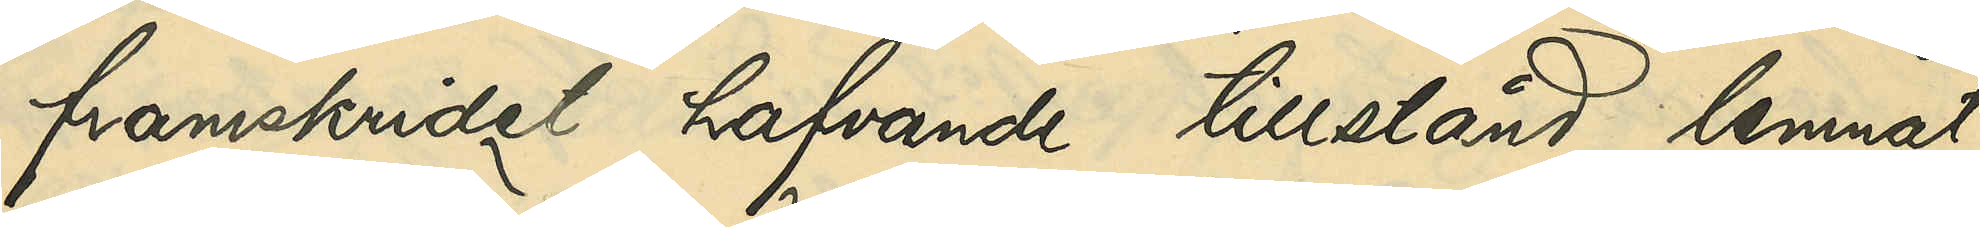framskridet hafvande tillstånd lemnat
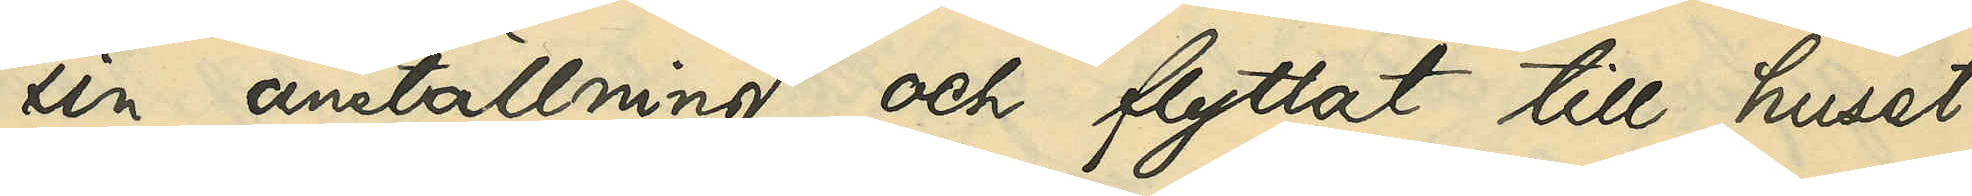sin anställning och flyttat till huset
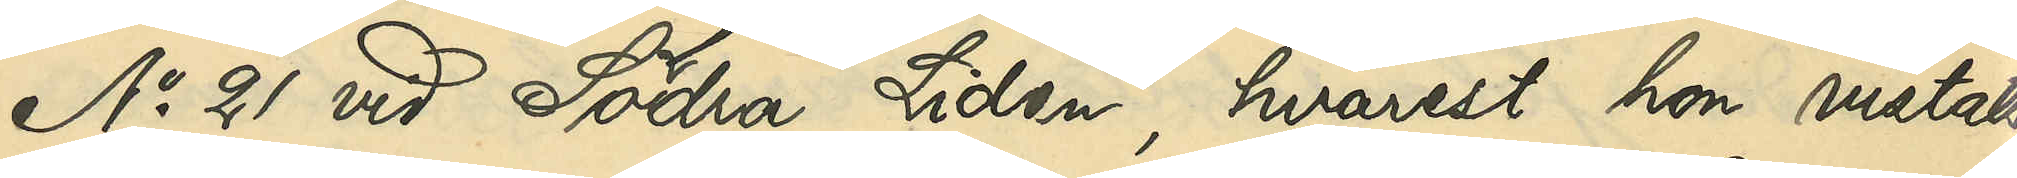No 21 vid Södra Liden, hvarest hon vistats
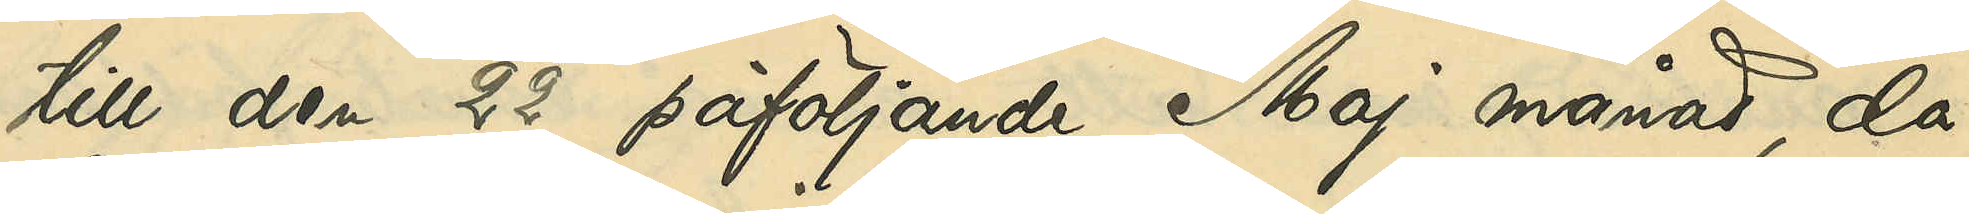till den 22 påföljande Maj månad, då
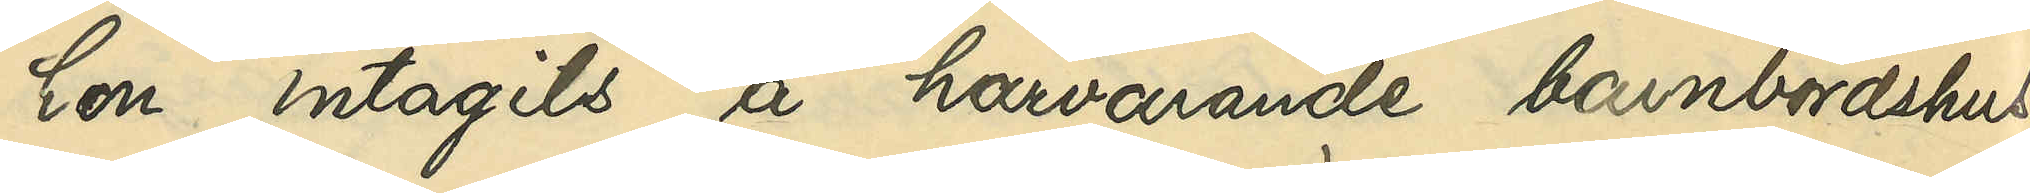hon intagits å härvarande barnbördshus;
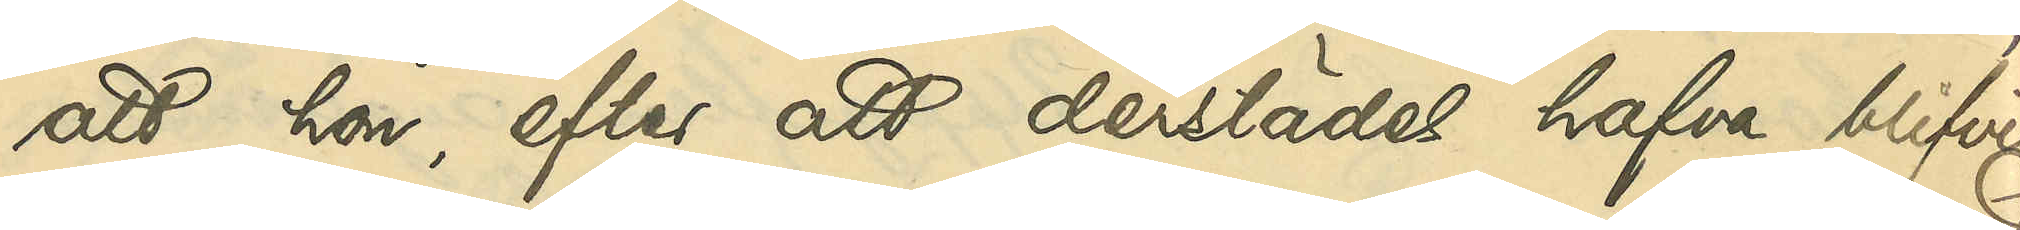att hon, efter att derstädes hafva blifvit
